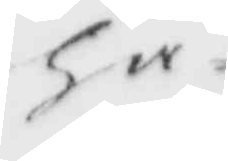ha
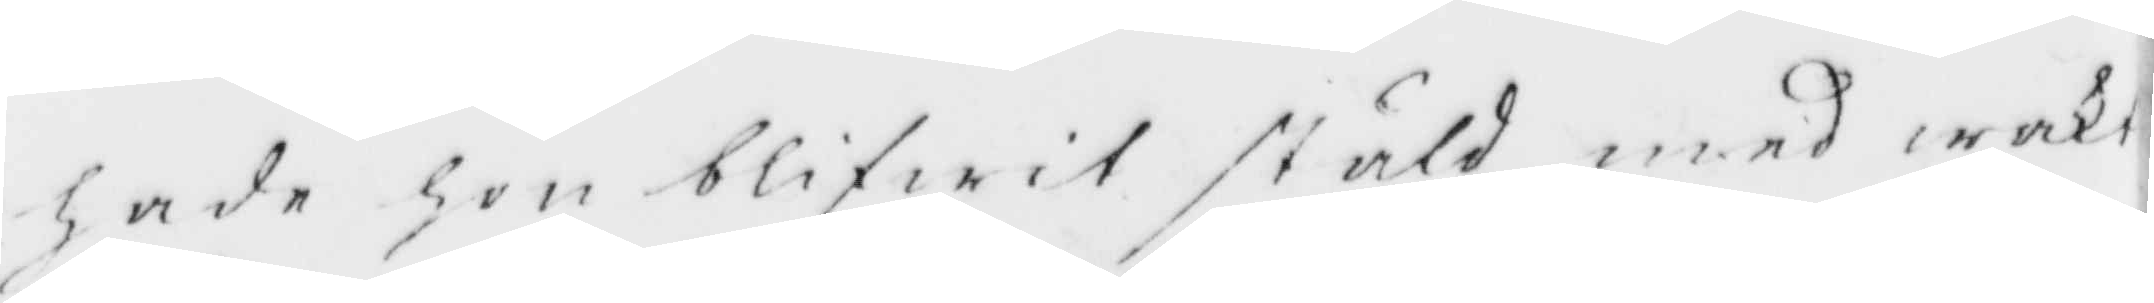hade hon blifwit stäld med wakt
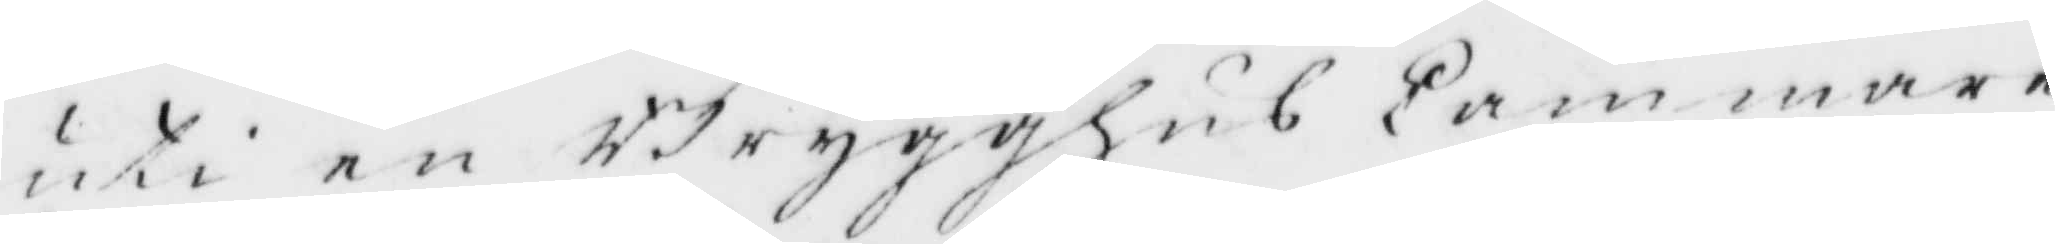uti en Brygghus kammare
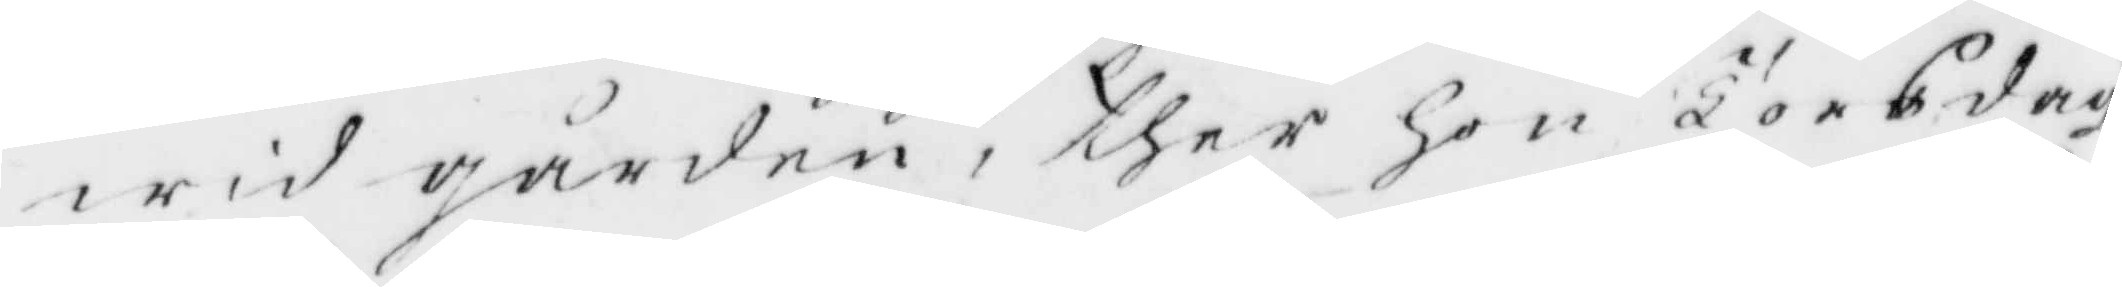wid gården, ther hon Torsdag¬
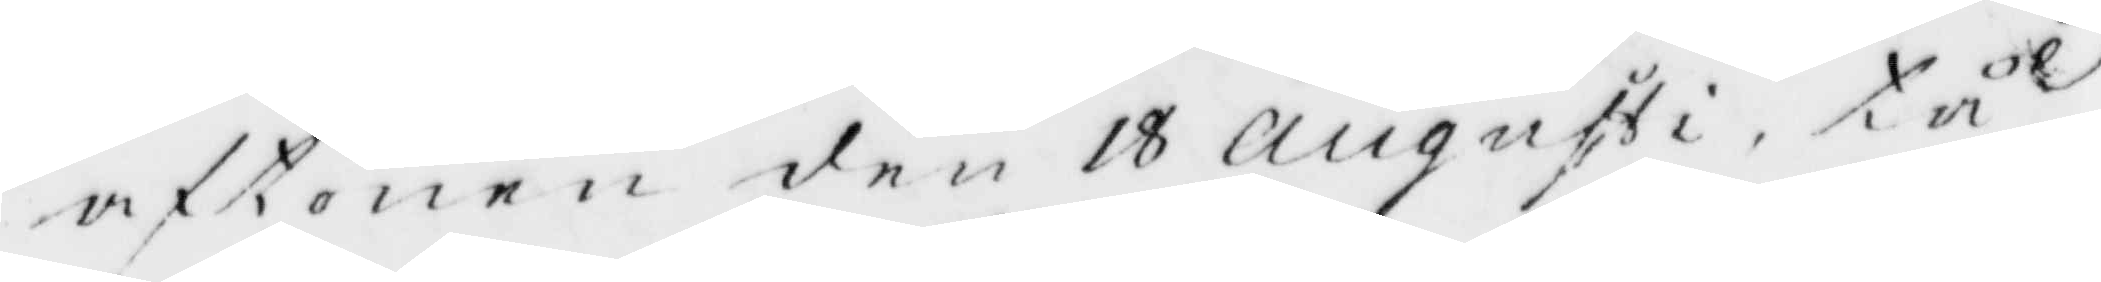aftonen den 18 Augusti, tå
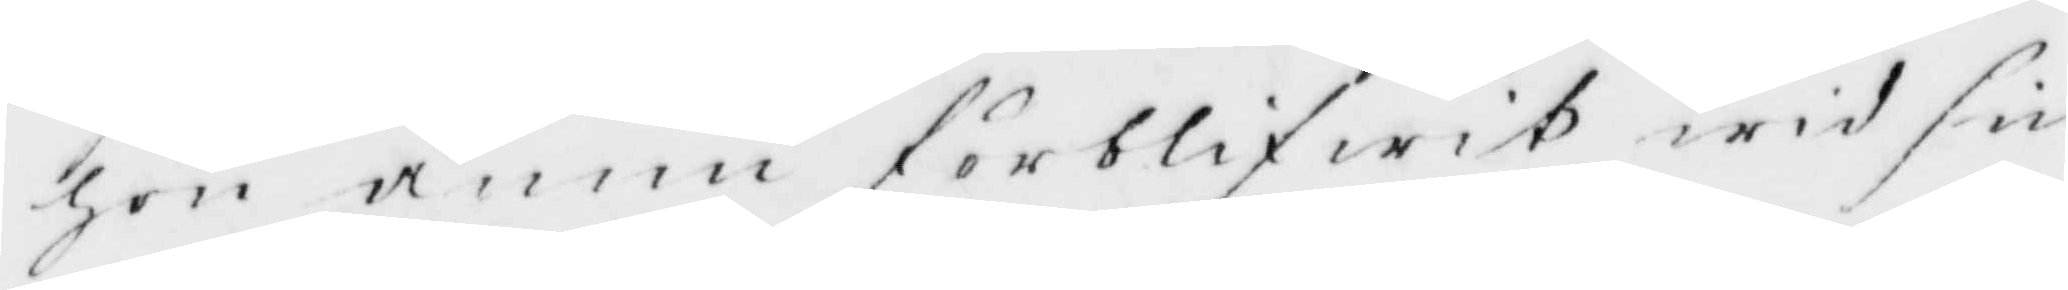hon ännu förblifwet wid sin
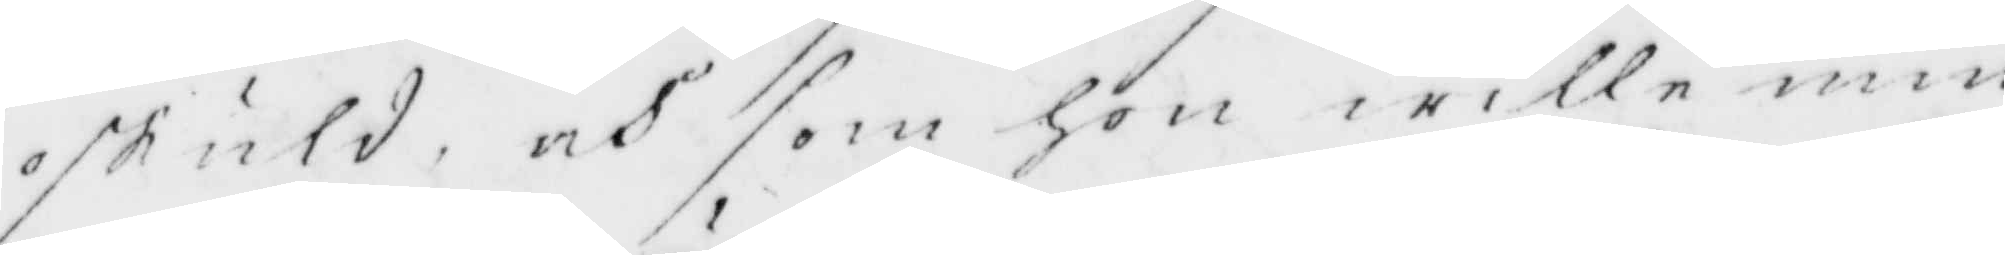skuld, och som hon wille min¬
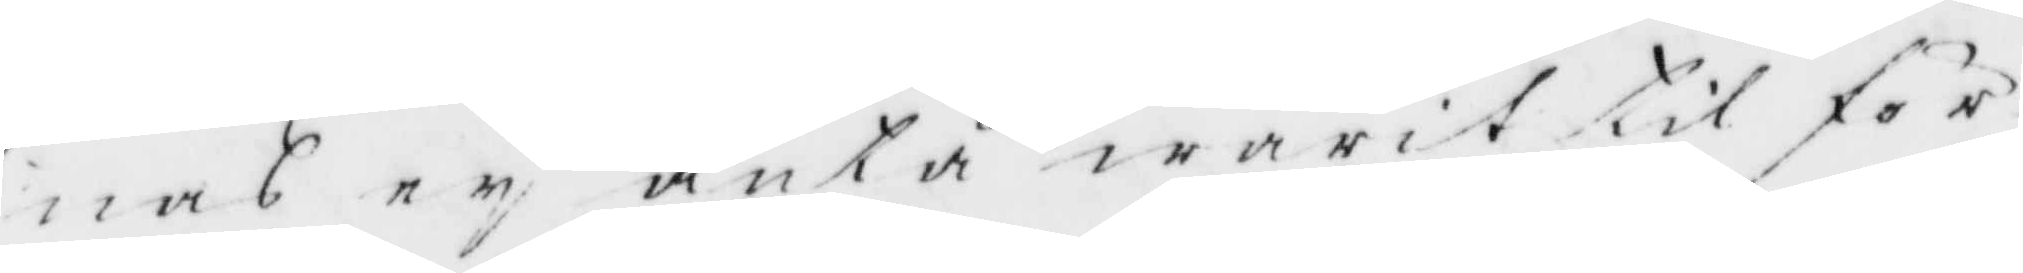nas ey äntå warit til för¬
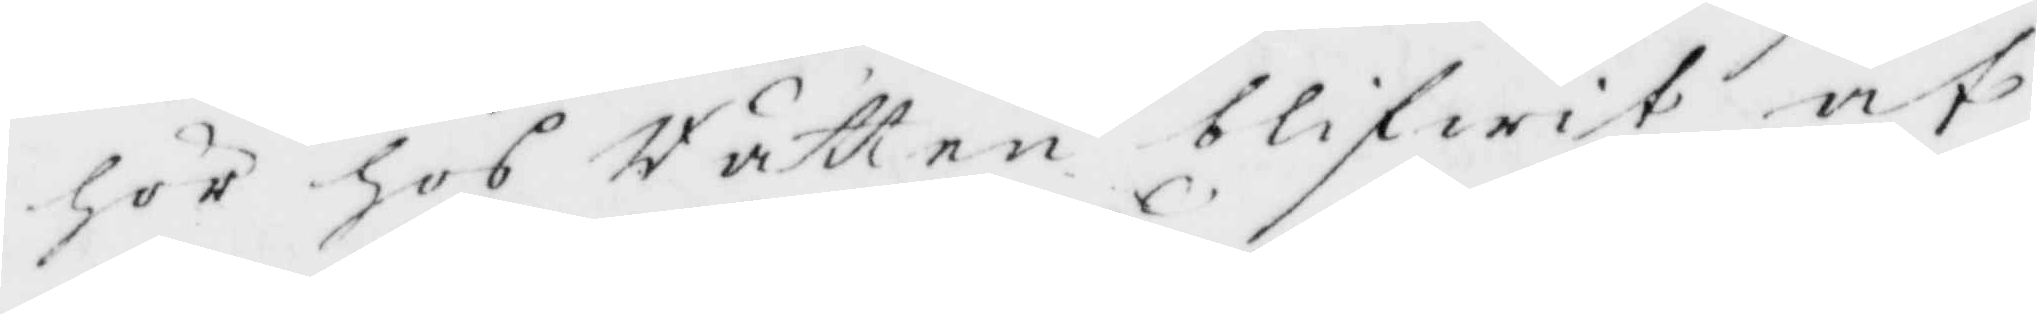för hos Rätten blifwit af
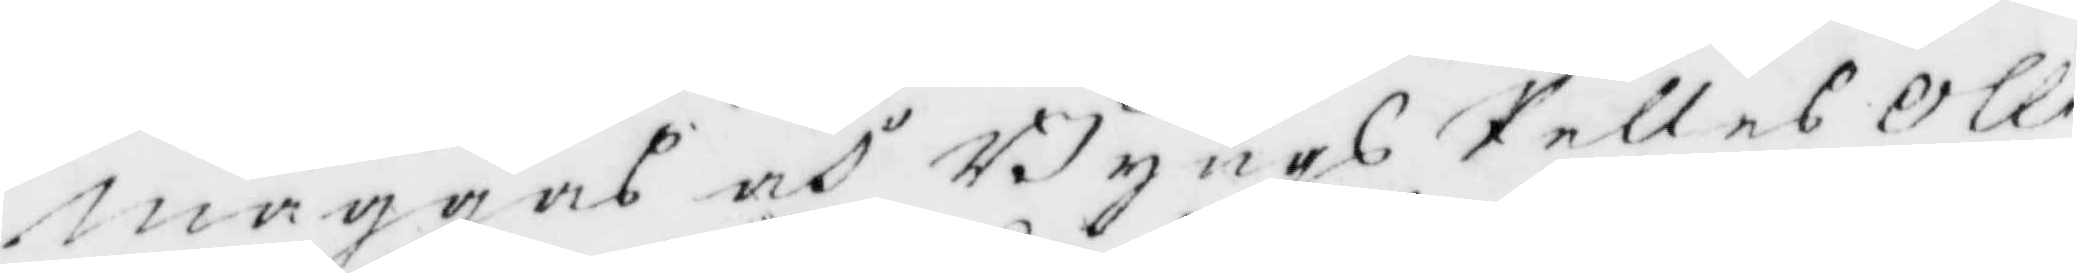maggas och Byngs Pelles Olle
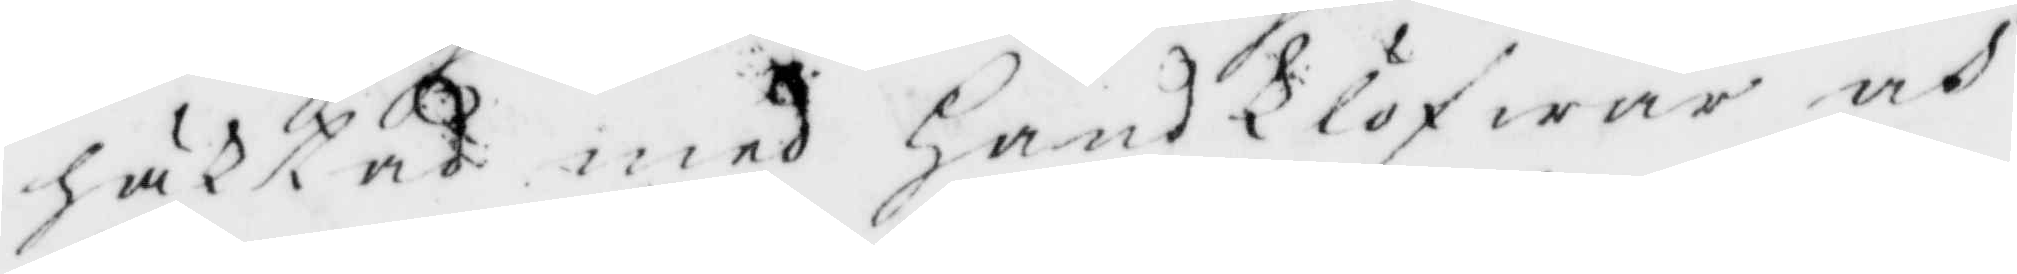häktad med HandKlöfwar och
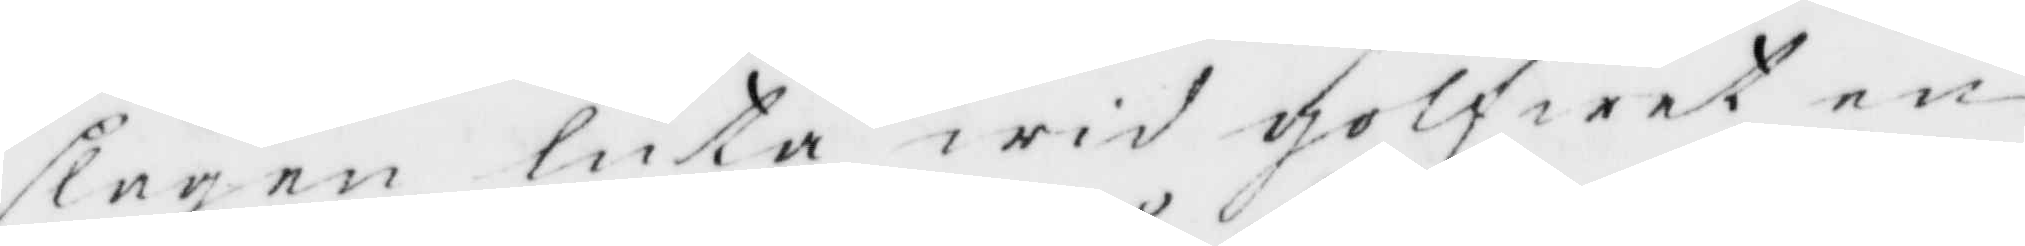slagen luta wid golfwet en
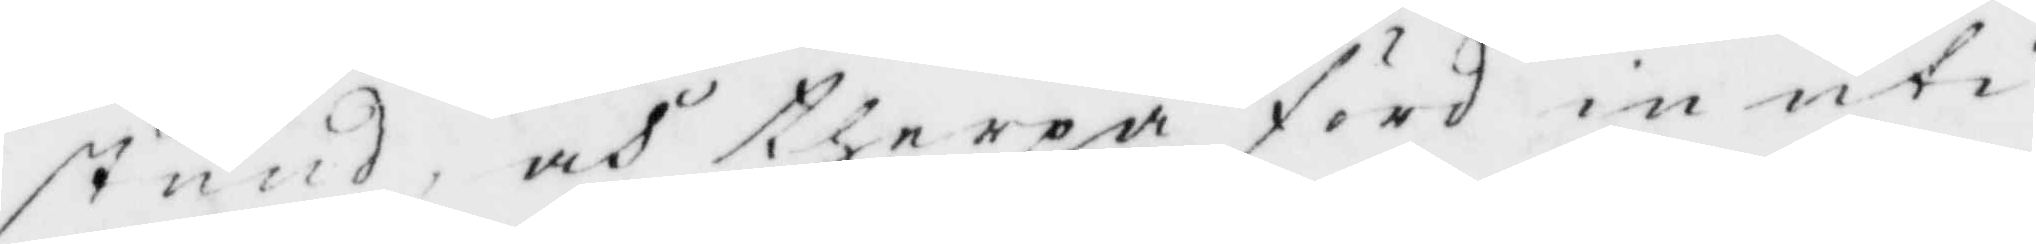stund, och therpå förd in uti
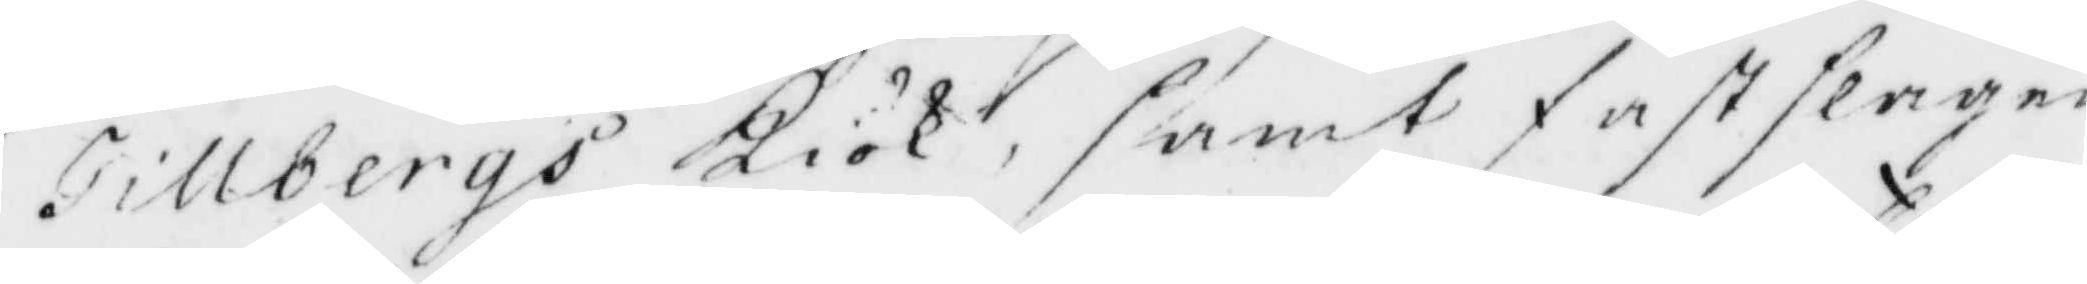Tillbergs Kiök, samt fastslagen
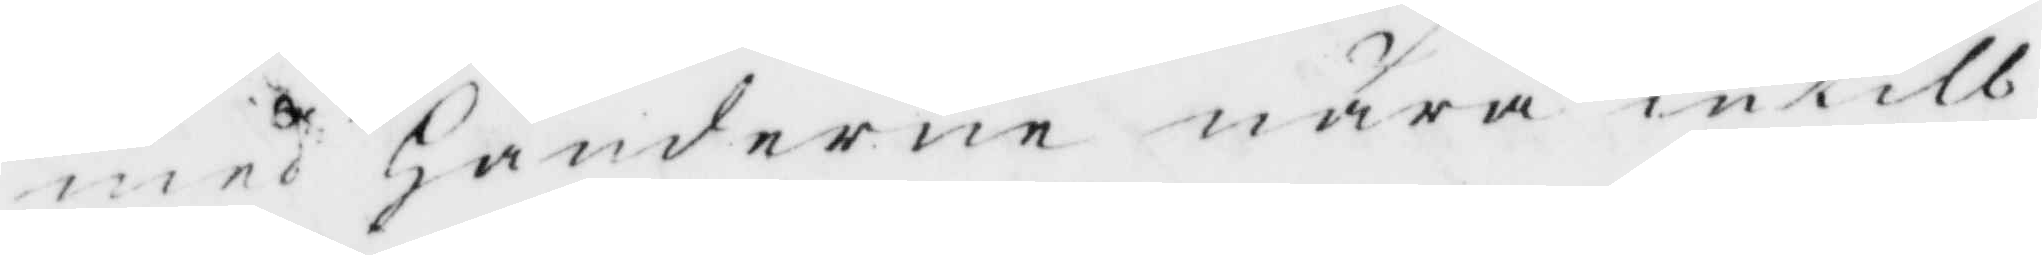med Händerne nära intill
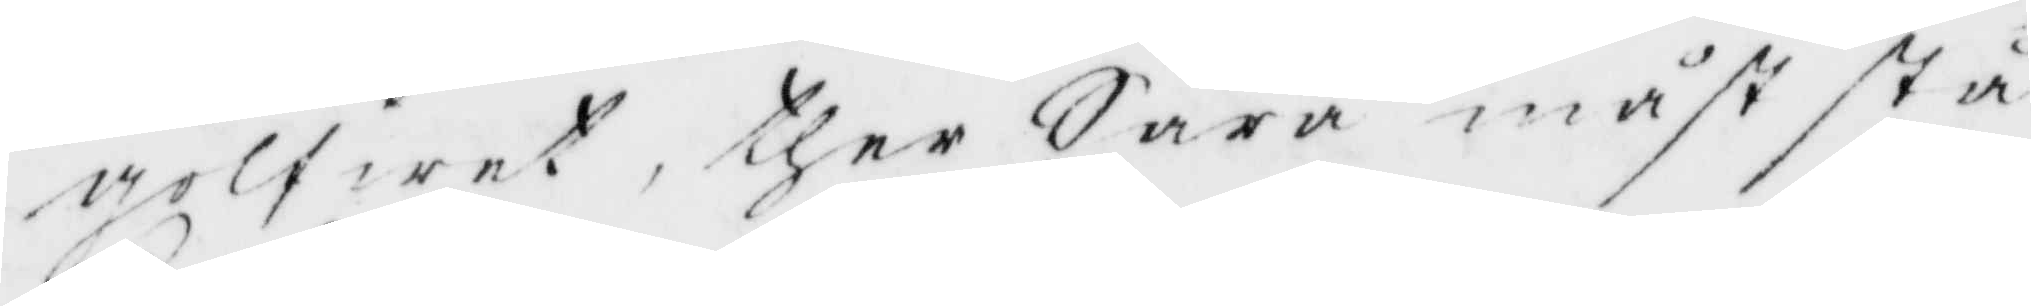golfwet, ther Sara måst stå
